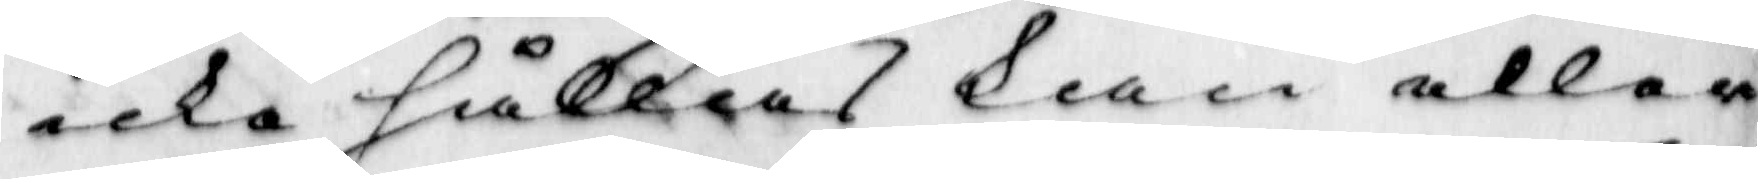icke hållas kan eller
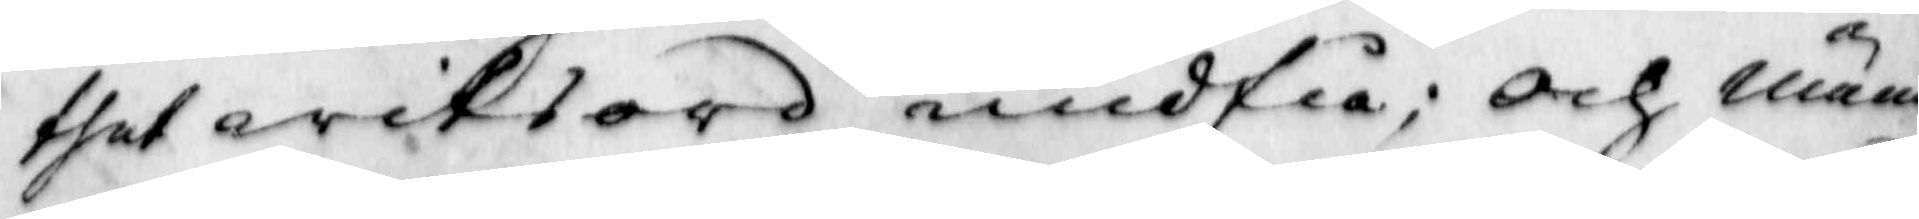thet witsord undfå; och näm¬
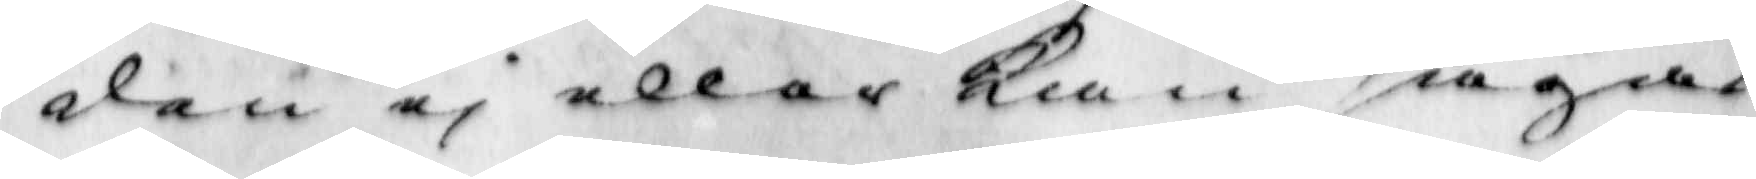den ei eller Kan sägas
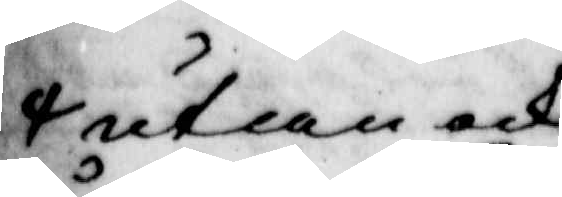utan ock
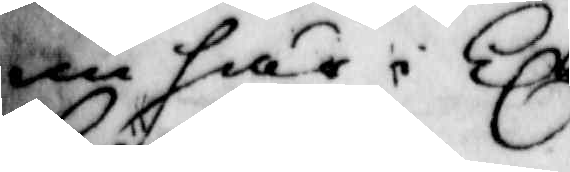nu här i Kl
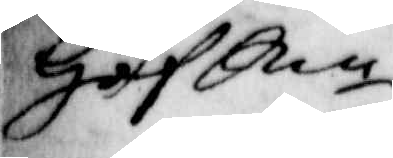Hof Rn
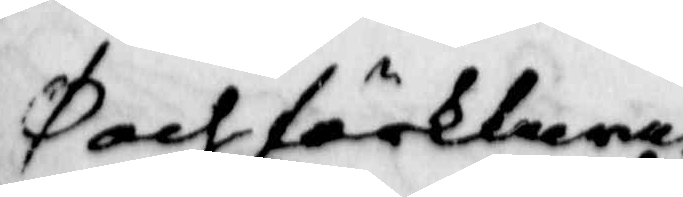och förklarat
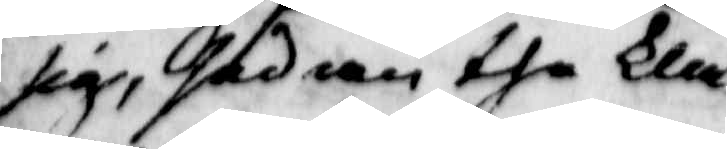sig, sedan the kla¬
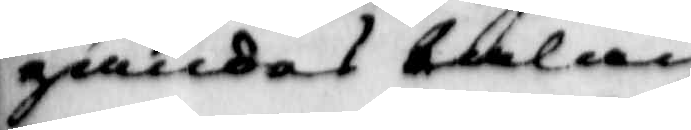gandes talan
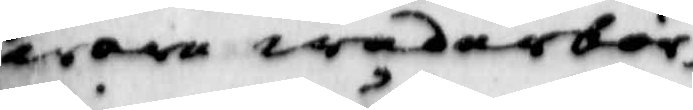wore wederbör¬
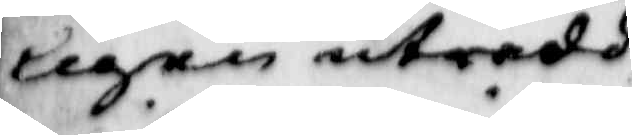ligen utredd,
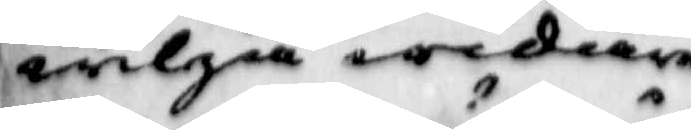wiljia widare
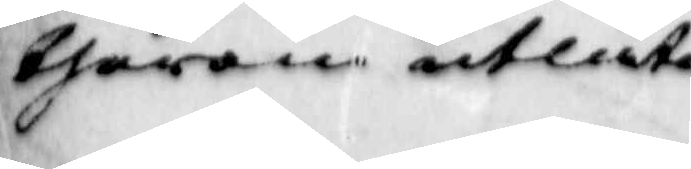therom utlåten;
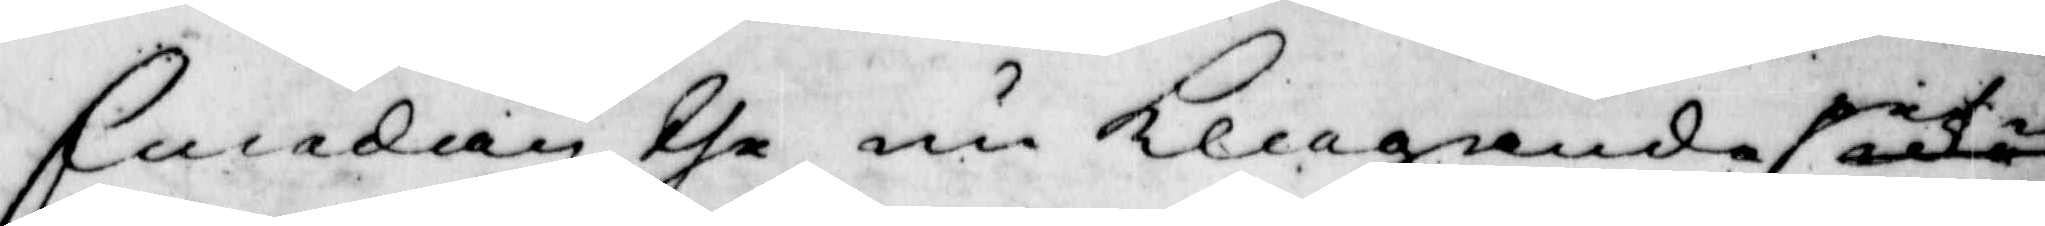Emedan the nu Klagande på
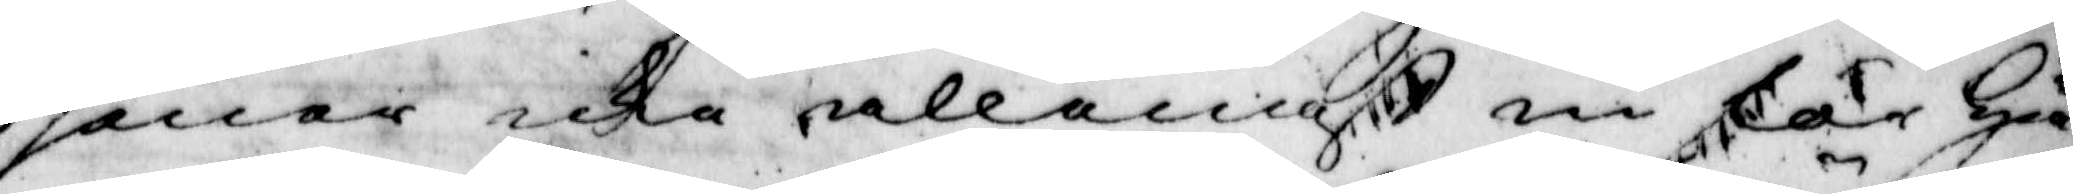sener icke allenast nu för Hä¬
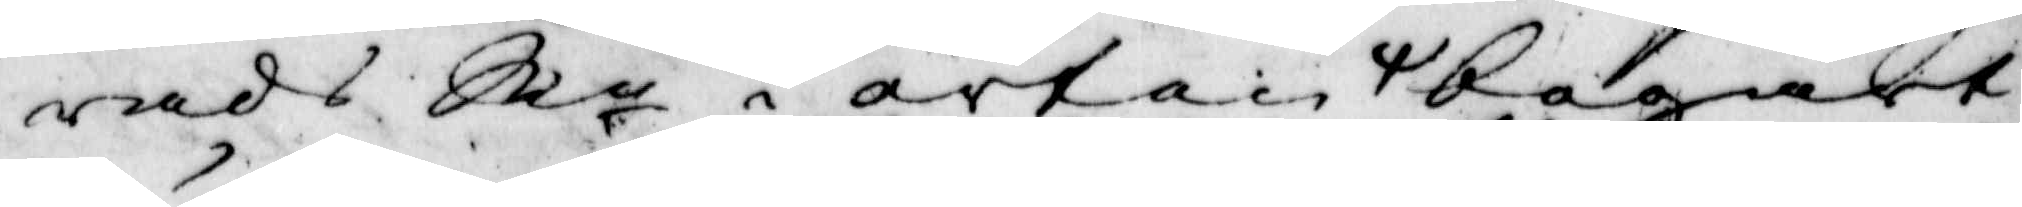rads Rn i orten begärt
